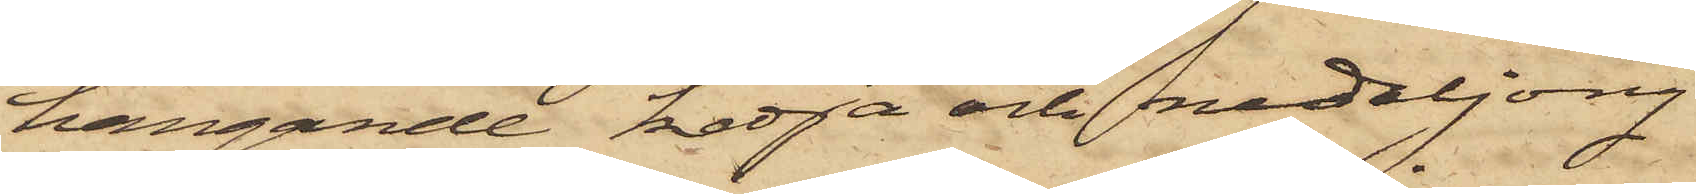hängande kedja och medaljong
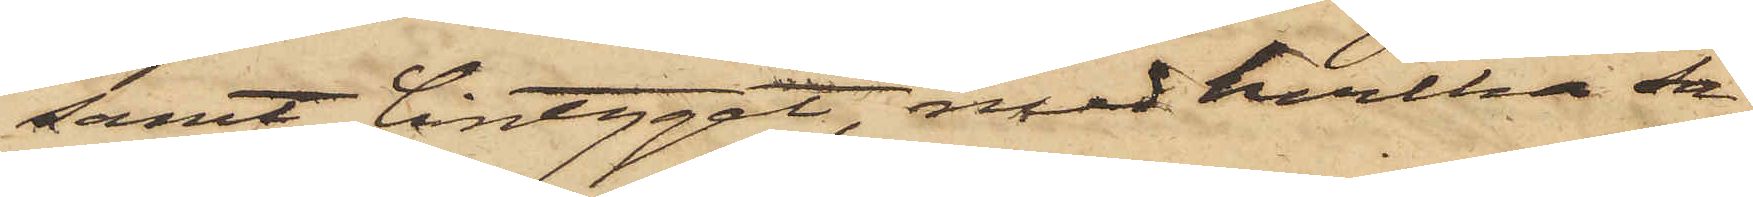samt lintyget, med hvilka sa¬
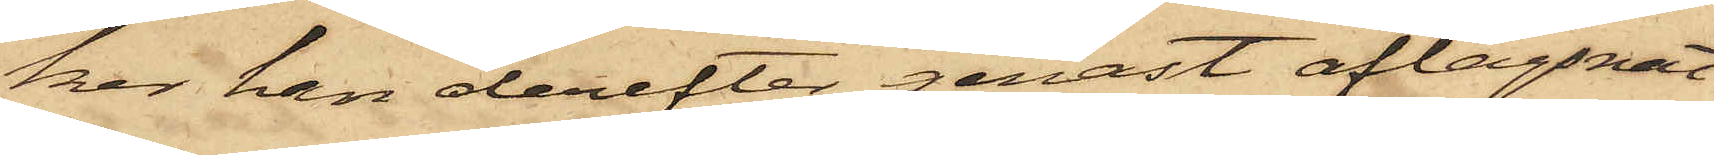ker han derefter genast aflägsnat
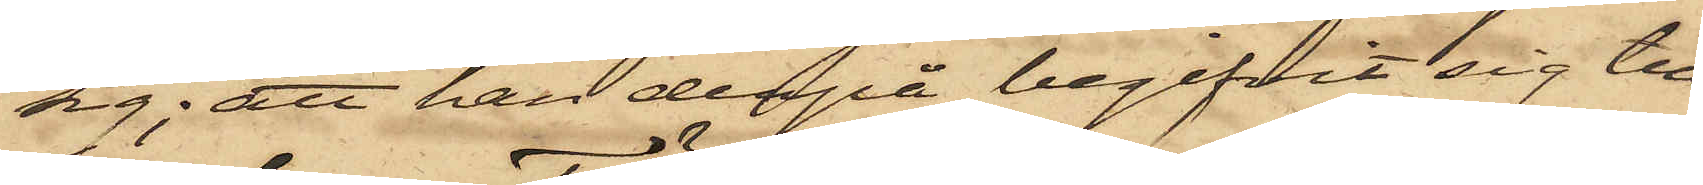sig; att han derpå begifvit sig till
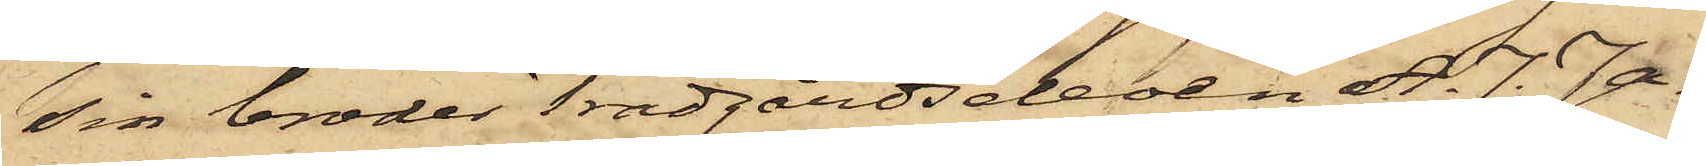sin broder Trädgårdseleven A. J. Ja¬
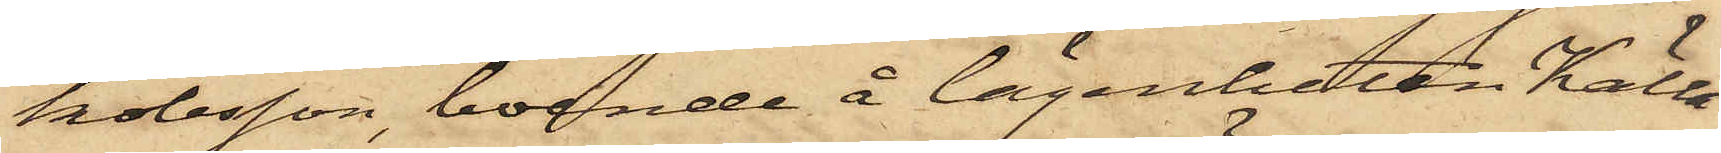kobsson, boende å lägenheten Källa¬
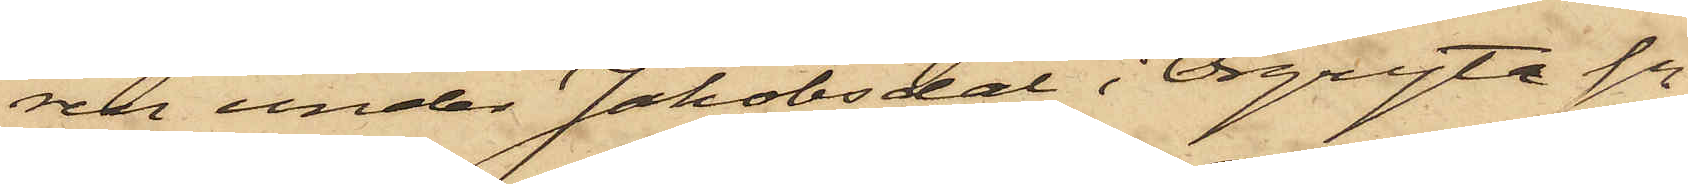ren under Jakobsdal i Örgryte Sn,
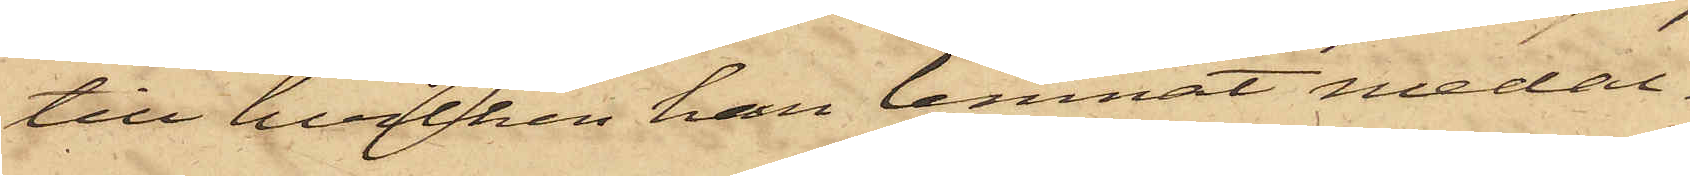till hvilken han lemnat medal¬
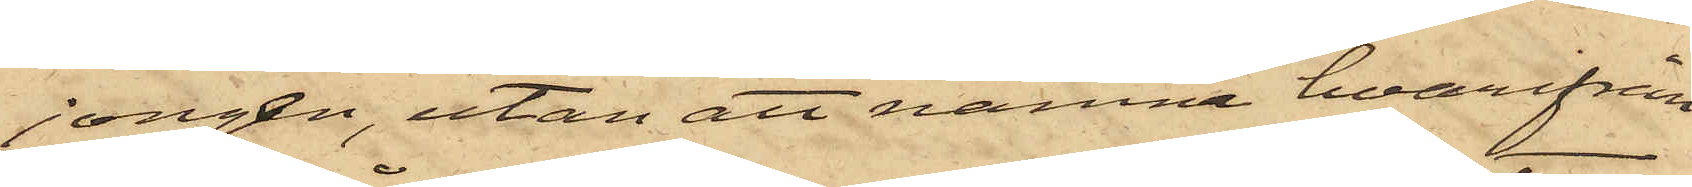jongen, utan att nämna hvarifrån
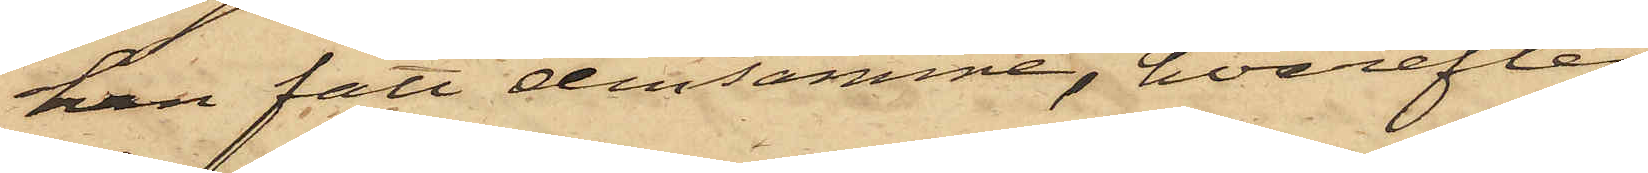han fått densamme, hvarefter
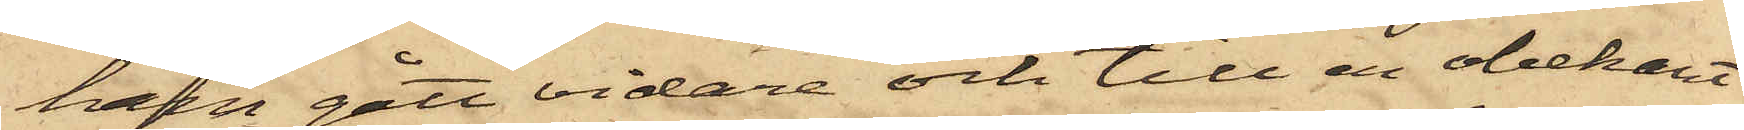han gått vidare och till en obekant
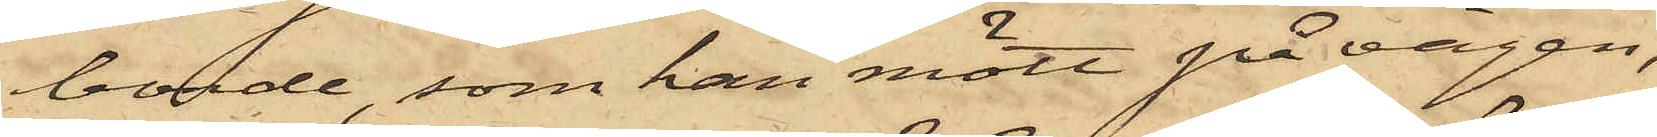bonde, som han mött på vägen,
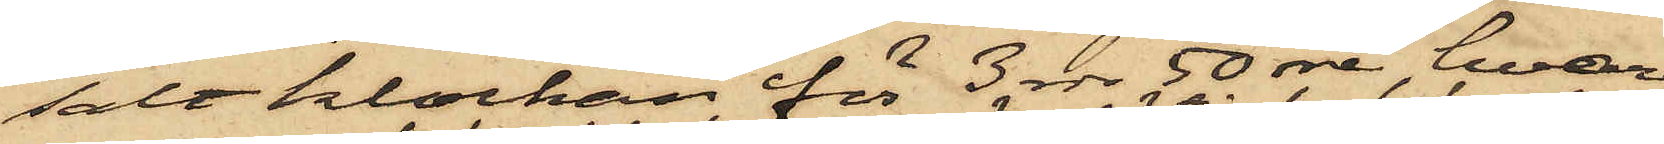sålt klockan för 3 rdr 50 öre, hvare¬
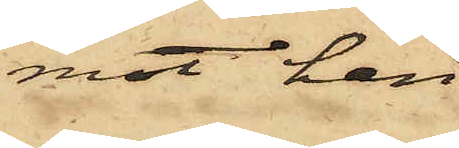mot han
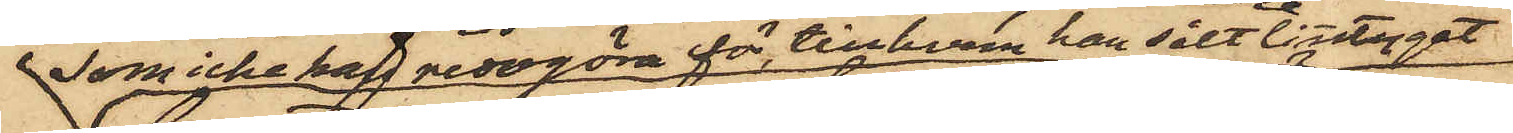som icke kan redogöra för till hvem han sålt linntyget
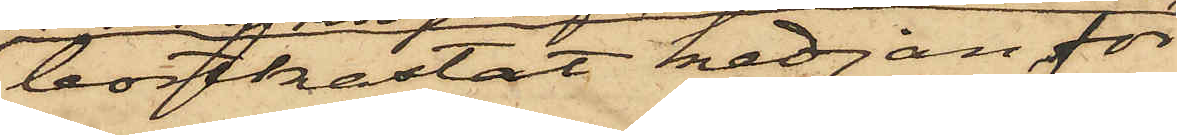bortkastat kedjan för
